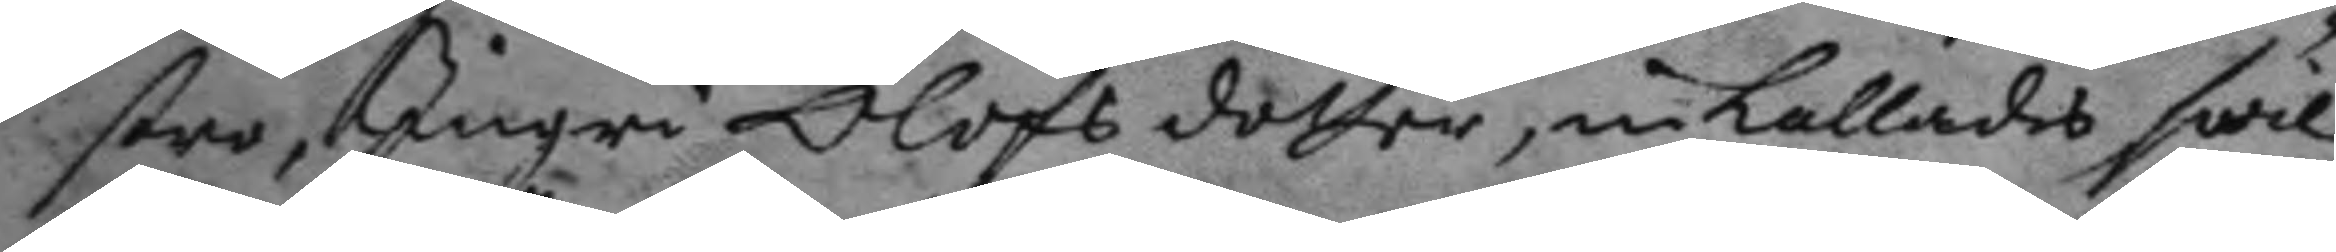srto, Ingri Olofs dotter, inkallades hwil¬
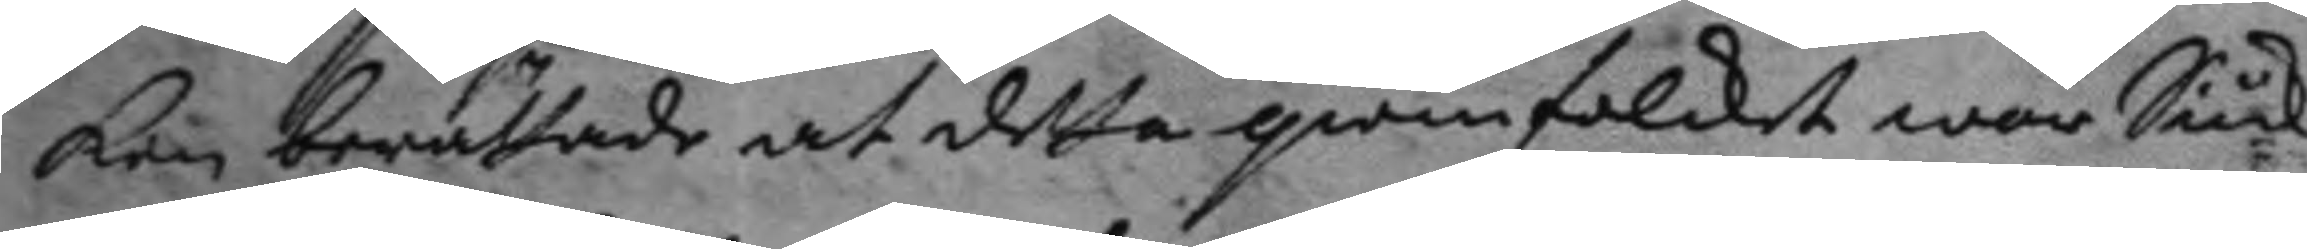ken berättade at detta qwinfolcket war Siuk
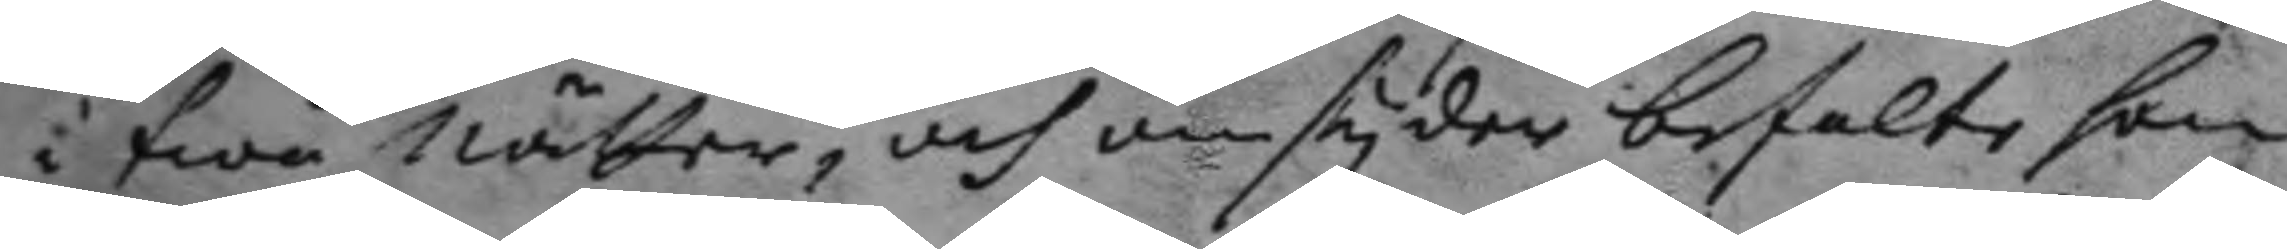i twå nätter, och omsyder befalte hon
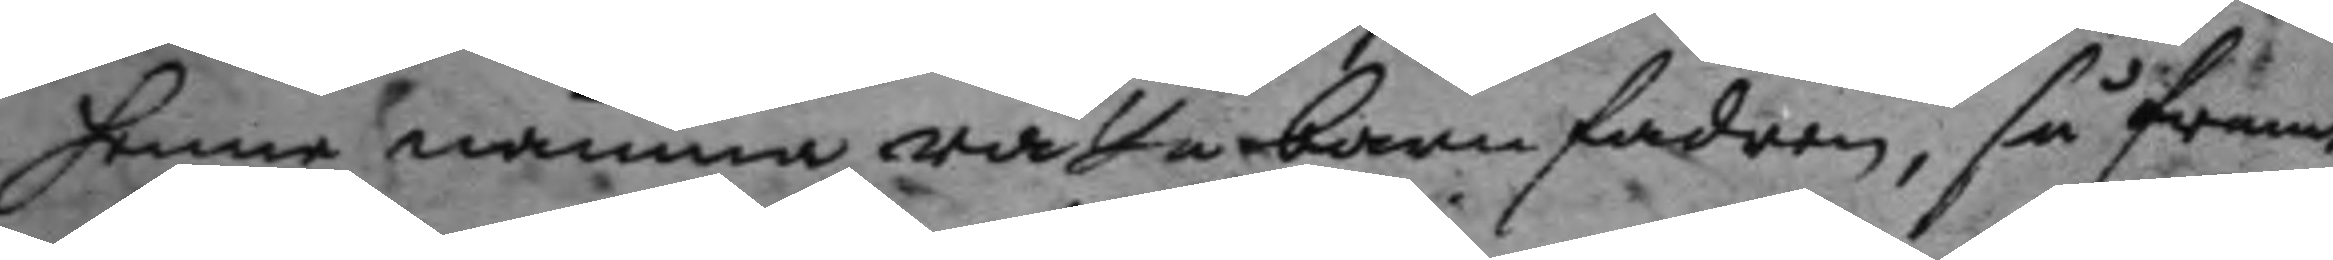hennen nämna rätta barnfadren, så framt
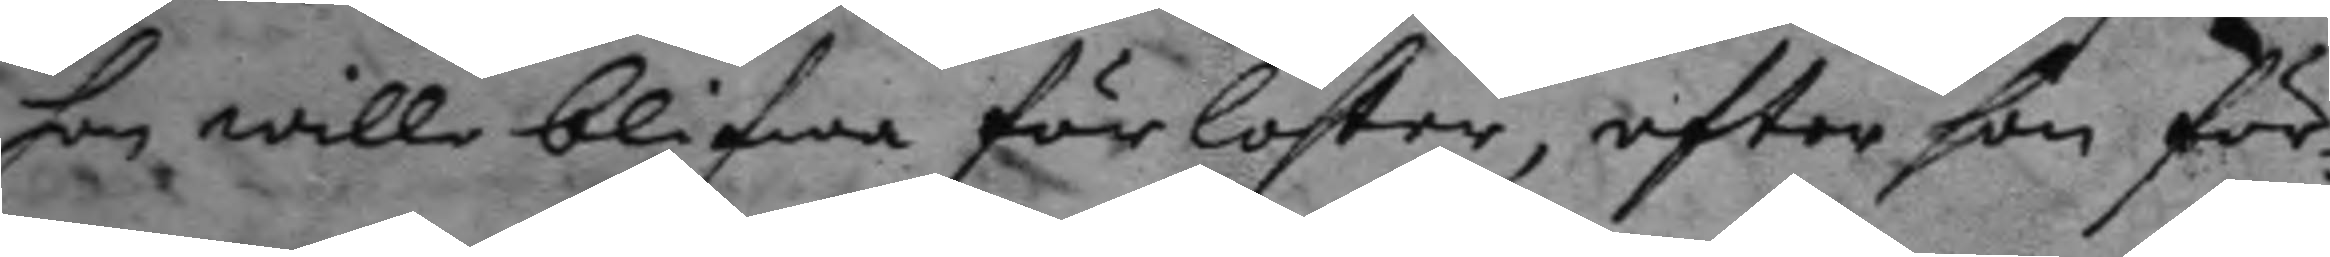hon wille blifwa förlösten, efter hon för¬
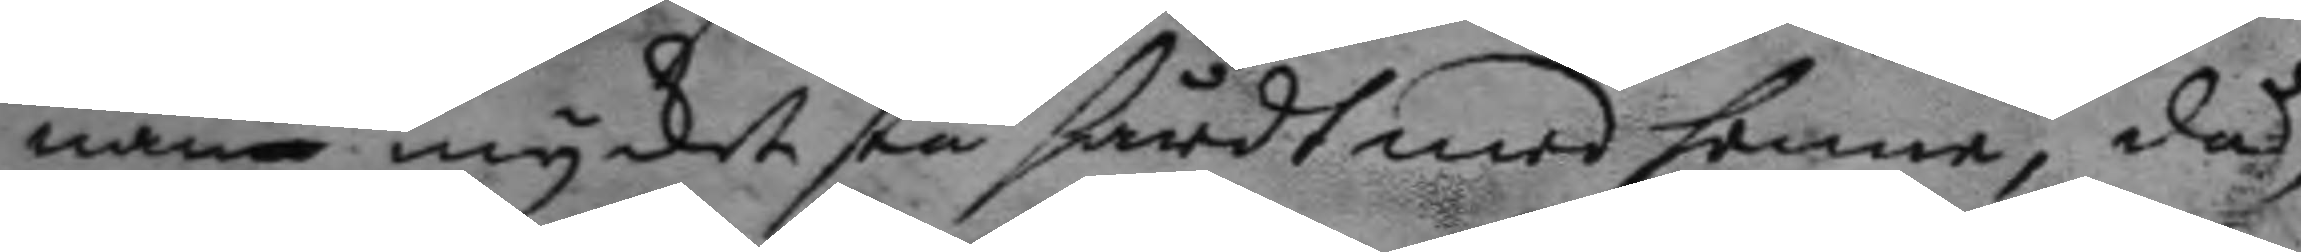nam mycket stå hårdt med henne, då
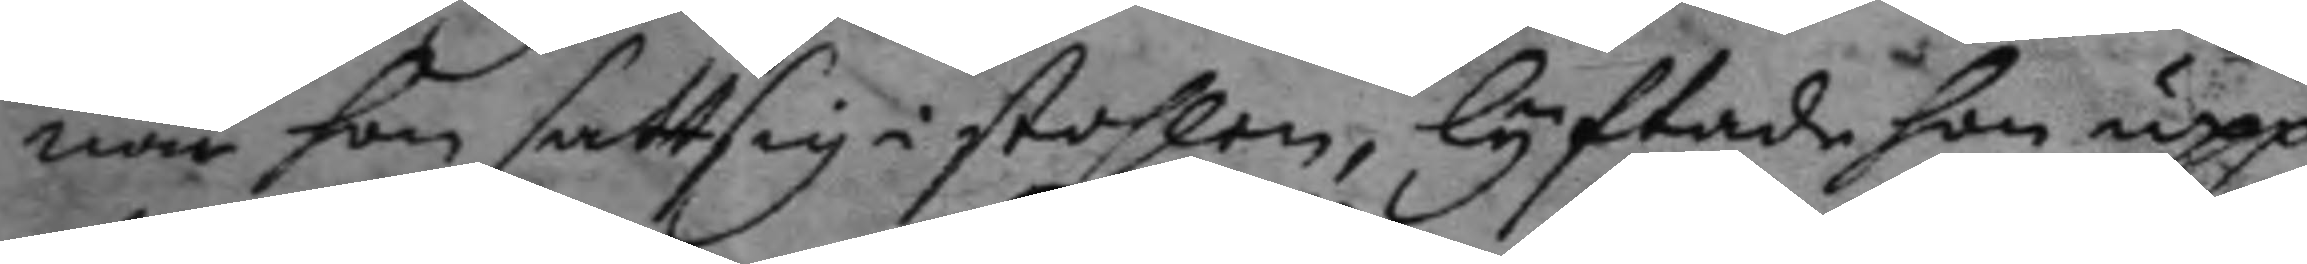när hon satt sig i stohlen, lyftade hon upp
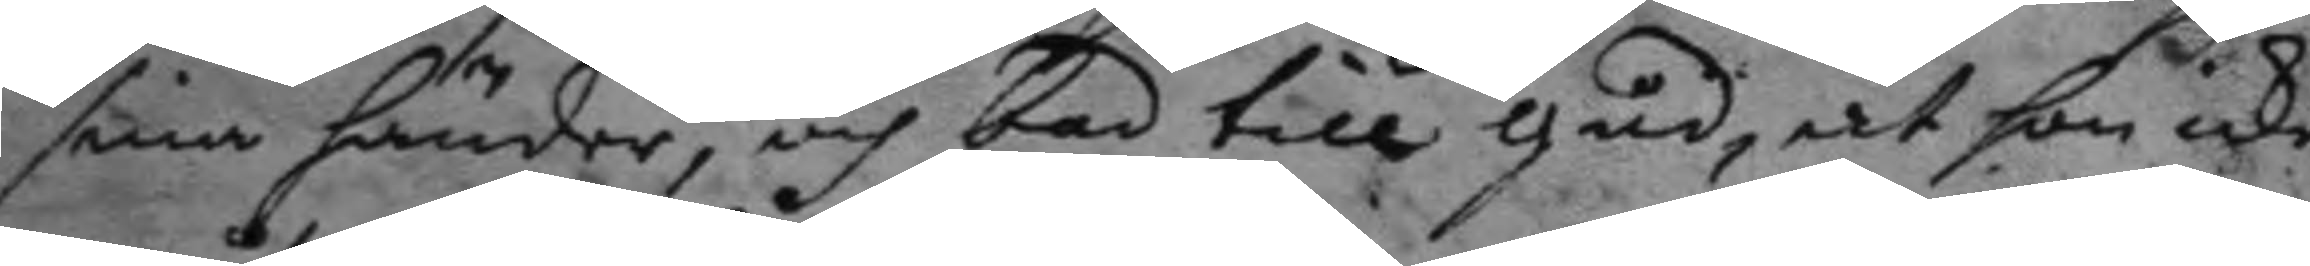sina händer, och bad till gud, at hon icke
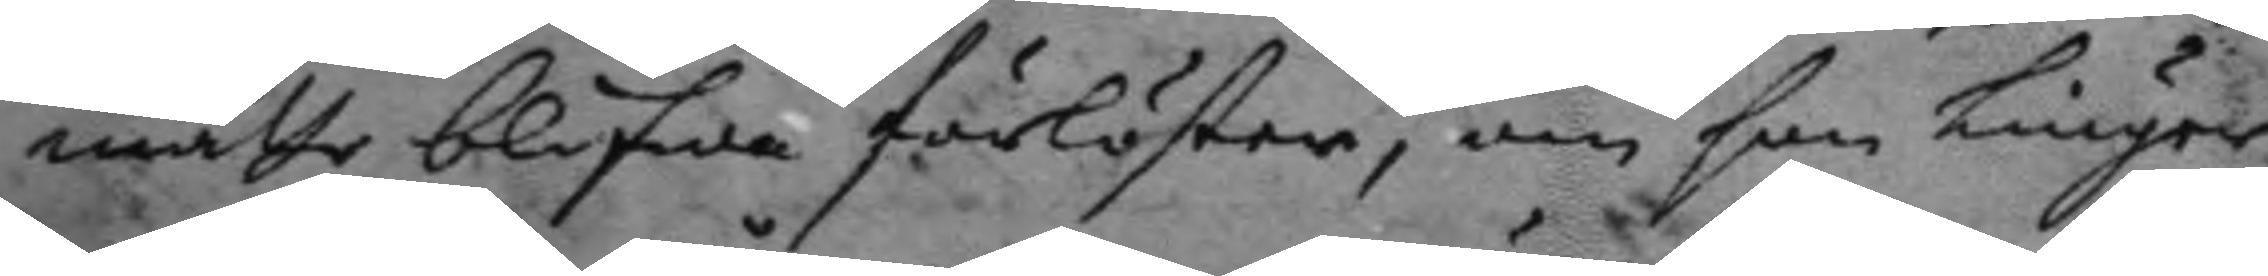måtte blifwa förlöster, om han liuger,
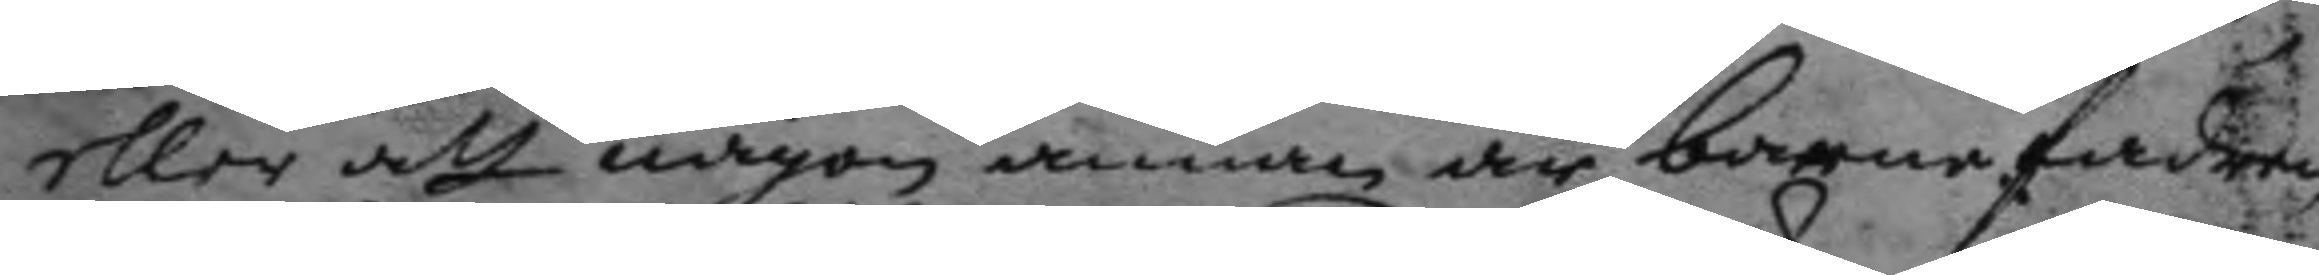eller att någon annan är barnefadren
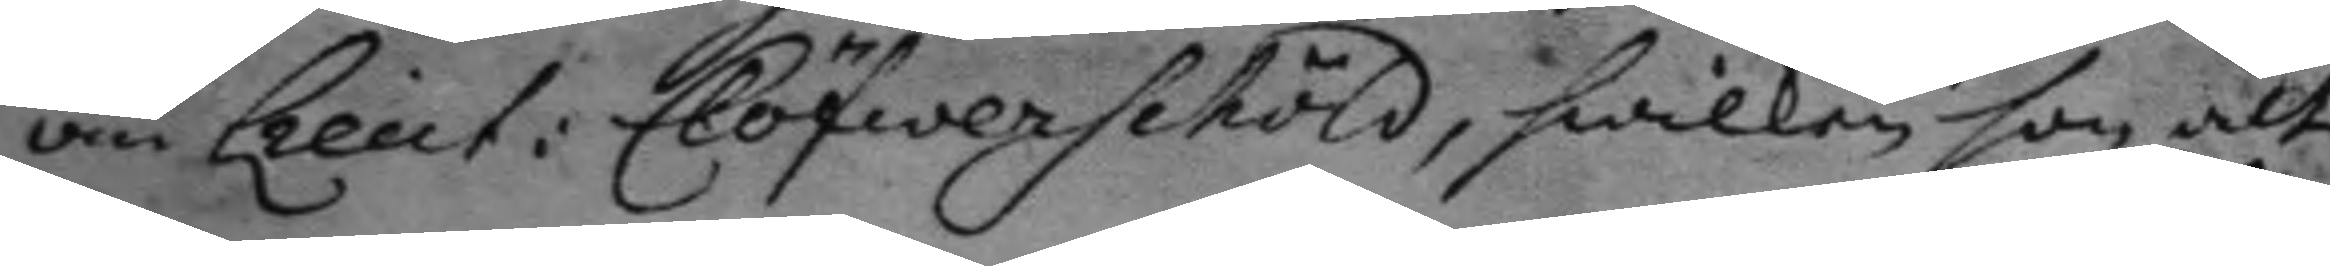än Lieut: Clöfwerschöld, hwilken hon att
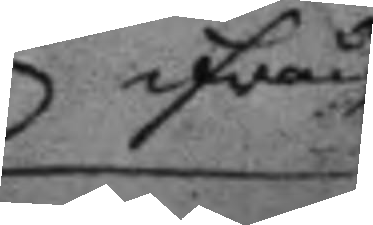ifrån
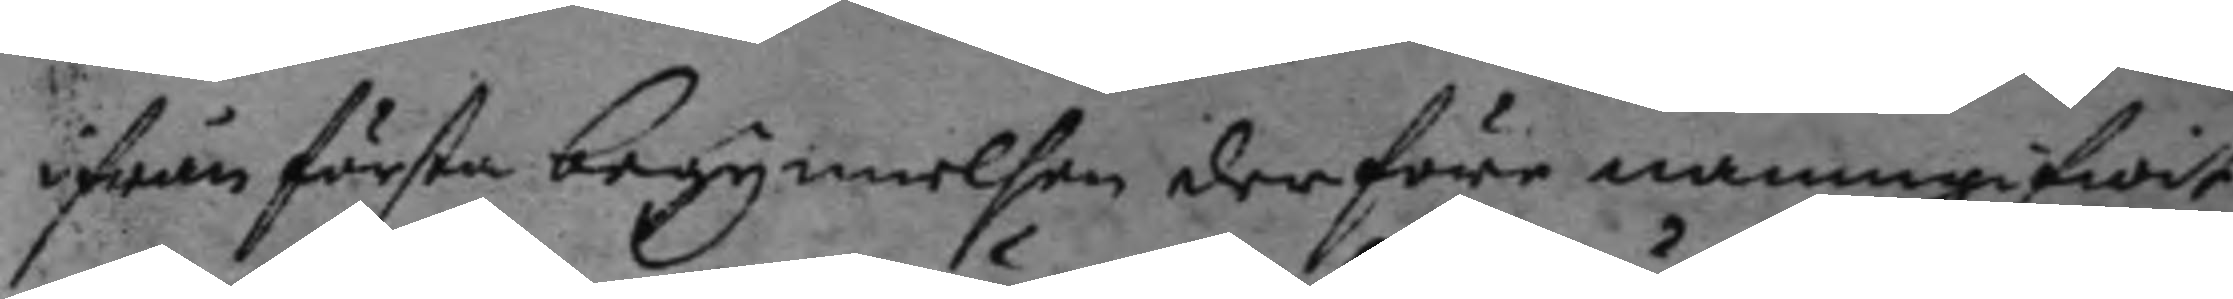ifrån första begynnelsen derföre namngifwit,
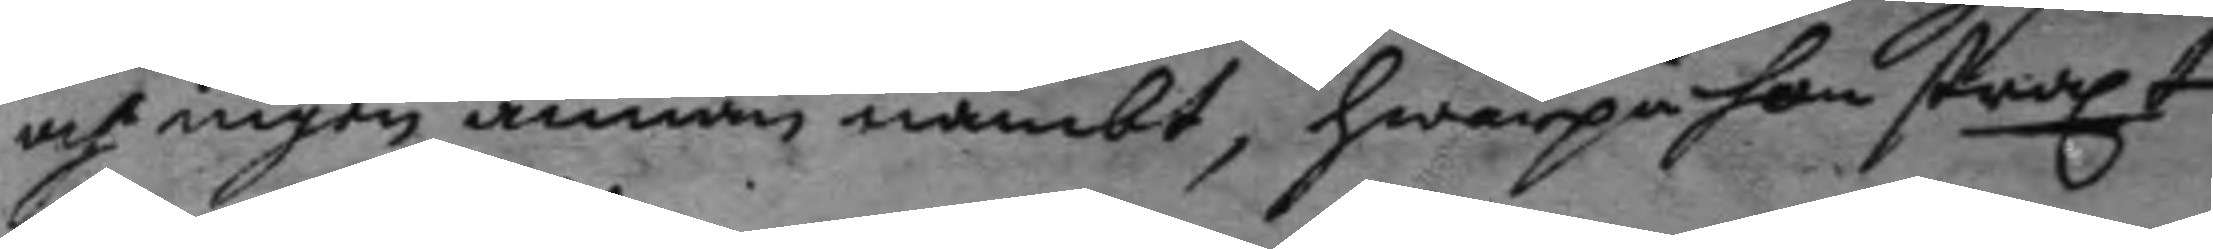och ingen annan nämbt, hwarpå hon straxt
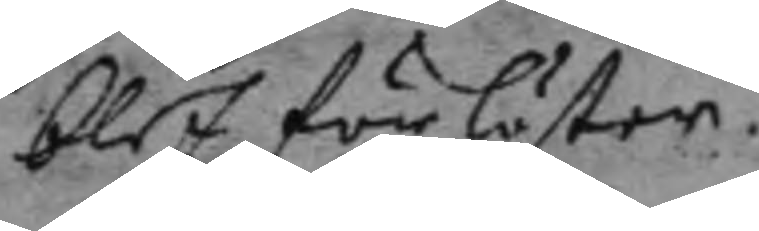blef förlöster.
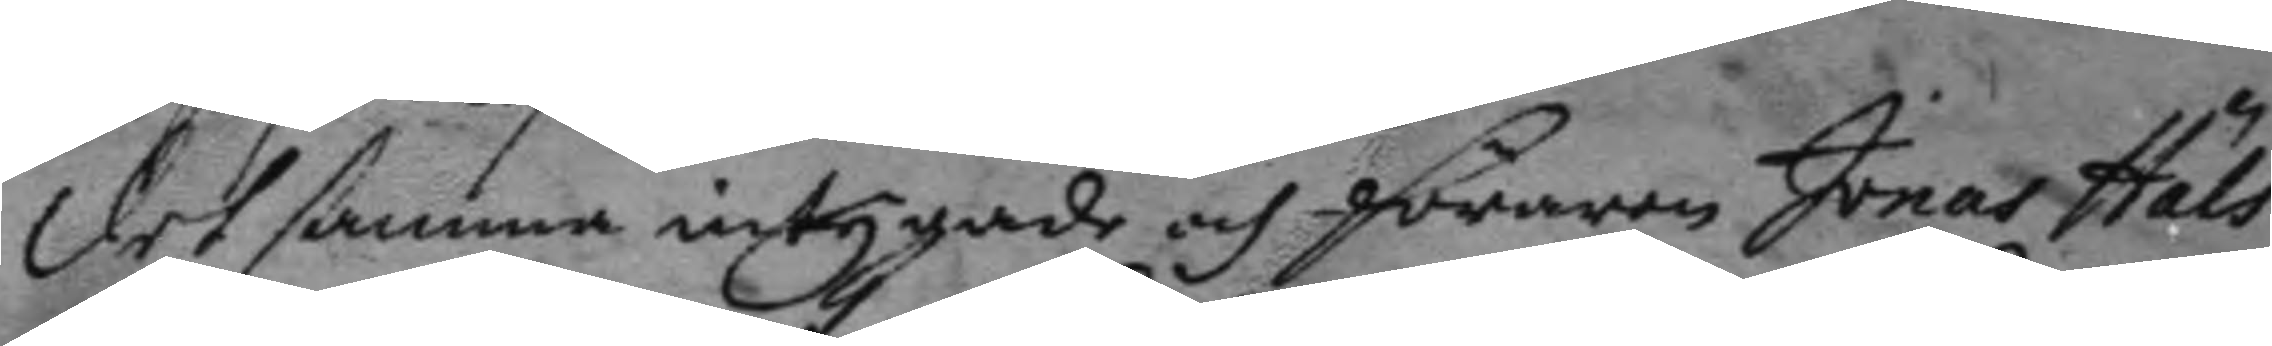Det samma intygade och föraren onas Häls
